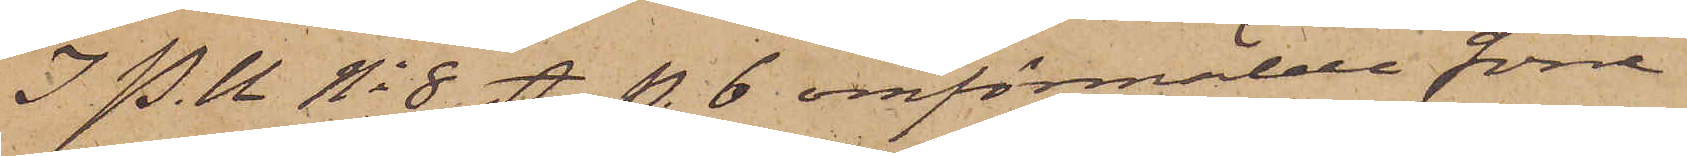I. P. U. No 8 A p. 6 omförmälde förre
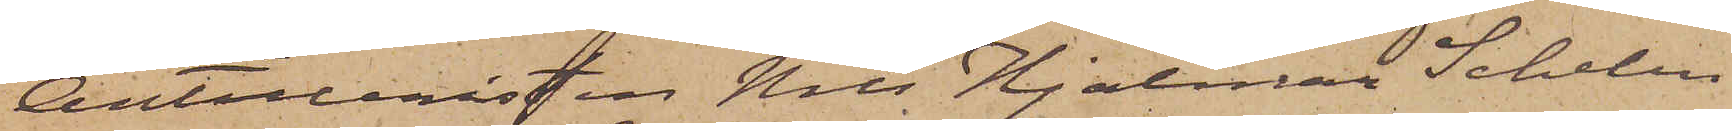Artilleristen Nils Hjalmar Schelin
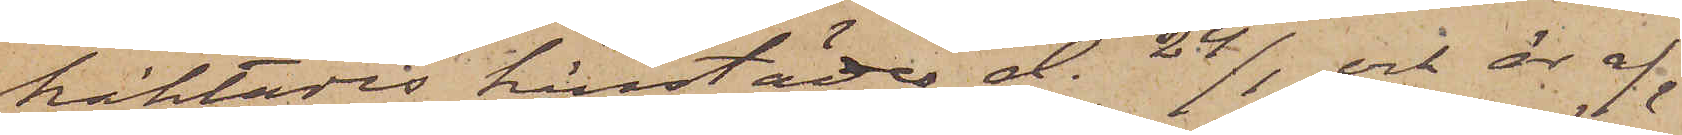häktades härstädes d. 24/1 och är af¬
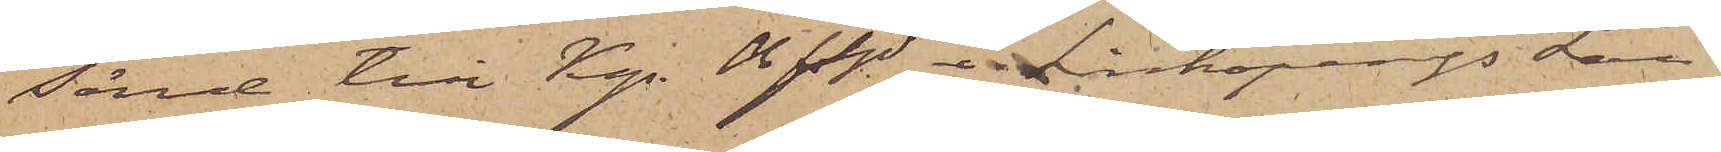sänd till Kgs Bfhd i Linköpings Län.
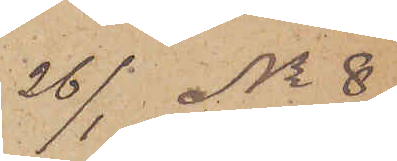26/1 No 8
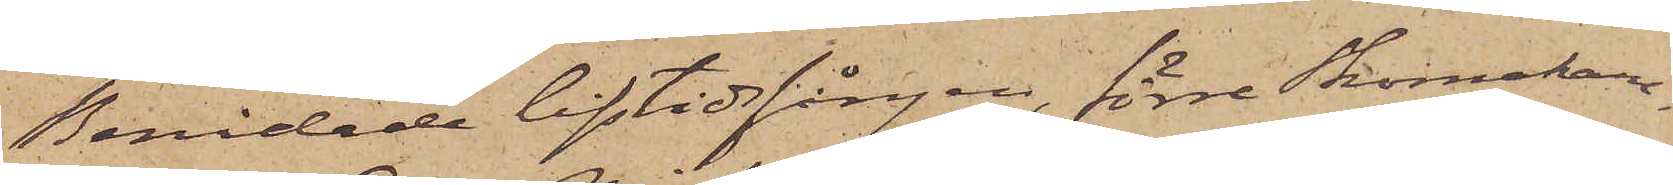Benådade lifstidfången, förre Skomakar¬
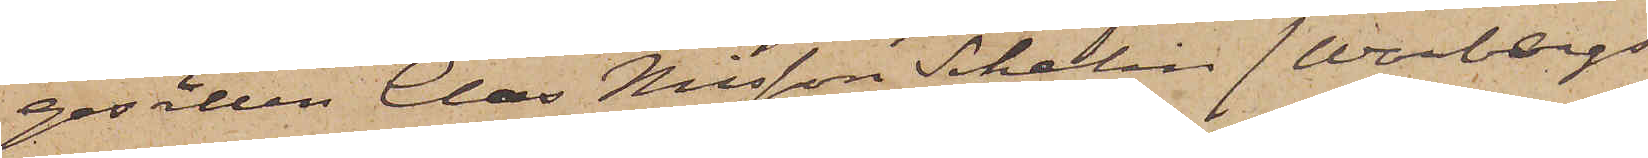gesällen Clas Nilsson Schelin (Warbergs
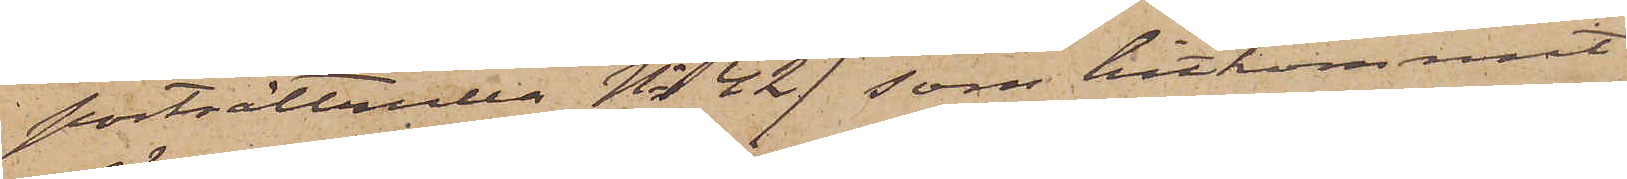porträttrulla No 42) som hitkommit
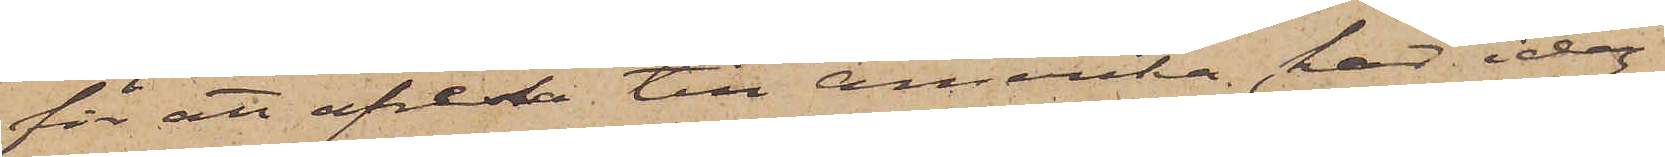för att afresa till Amerika, har idag
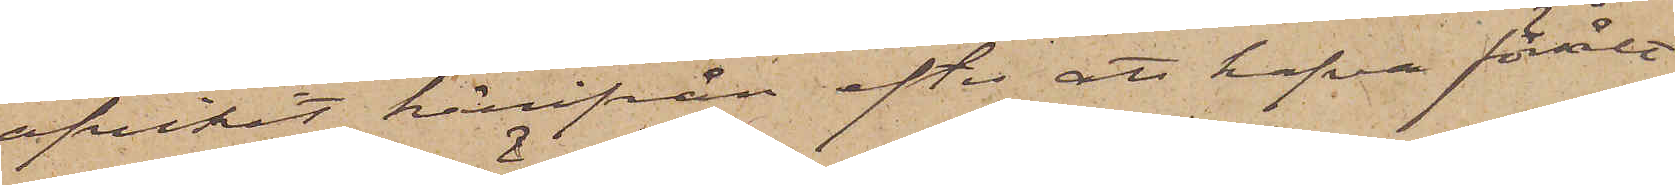afvikit härifrån efter att hafva försålt
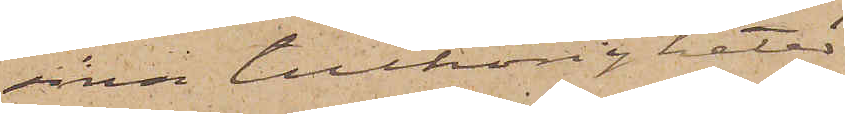sina tillhörigheter
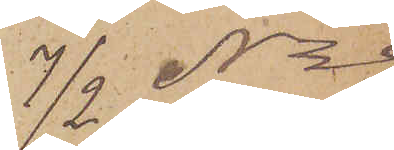7/2 No 9
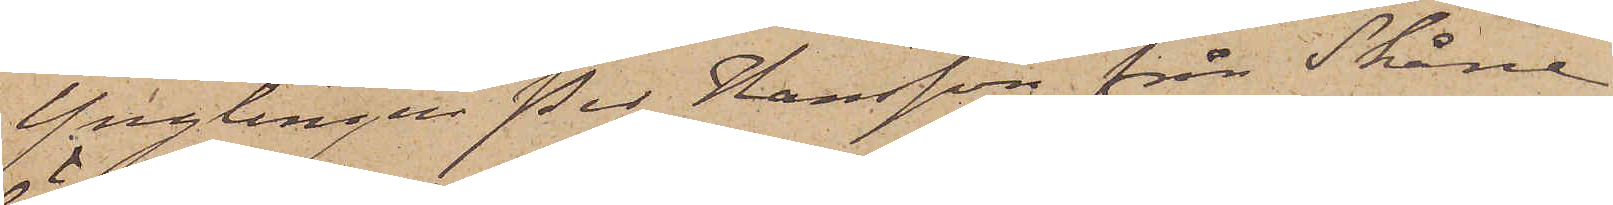Ynglingen Per Hansson från Skåne,
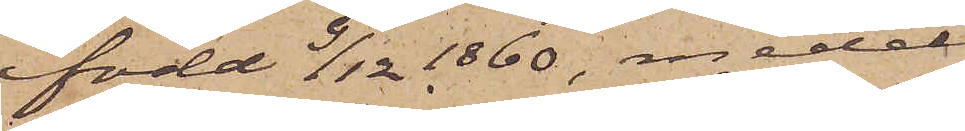född 9/12 1860, medel¬
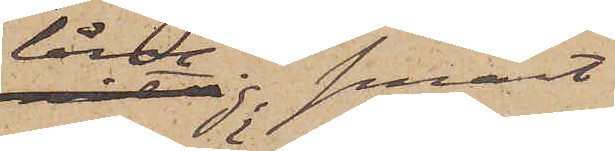lång; smärt
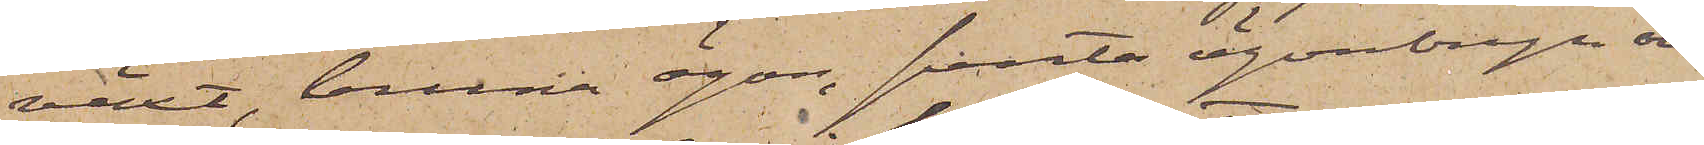växt, bruna ögon, svarta ögonbryn och
